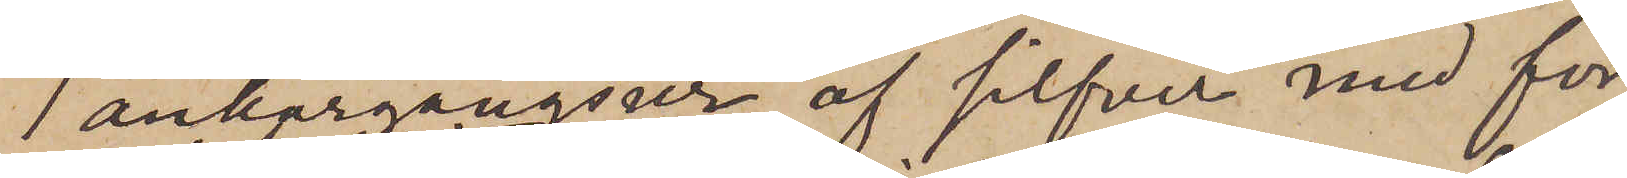1 ankargångsur af silfver med för¬
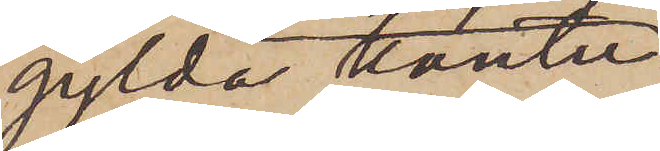gylda kanter
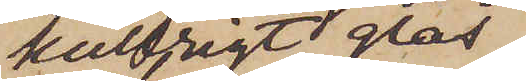kullrigt glas
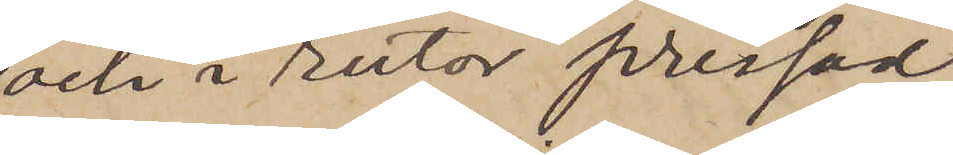och i rutor pressad
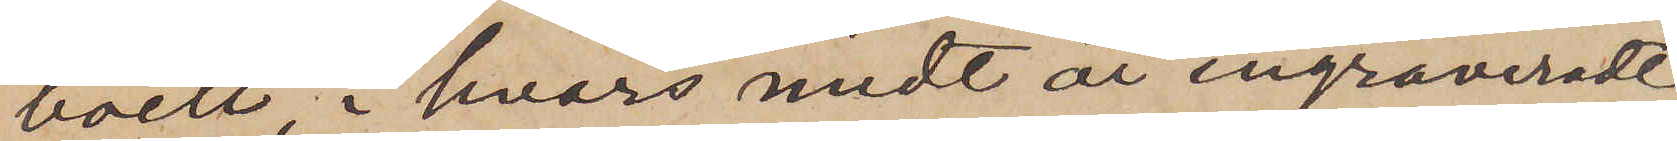boett, i hvars midt är ingraveradt
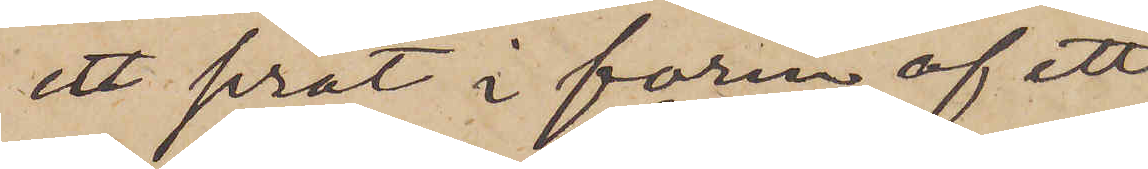ett sirat i form af ett
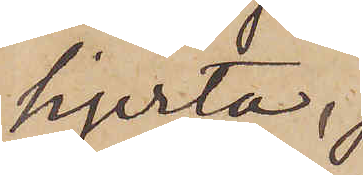hjerta
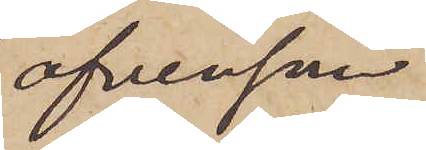äfvensom
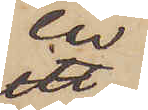en
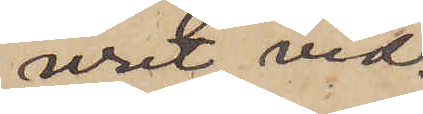uret vid¬
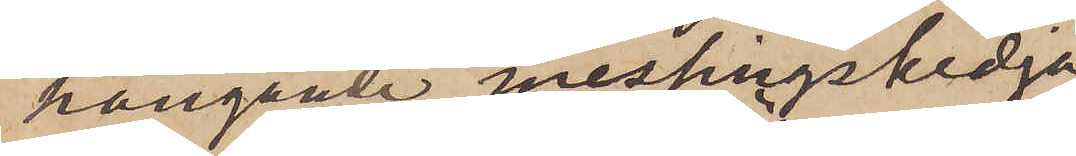hängande messingskedja
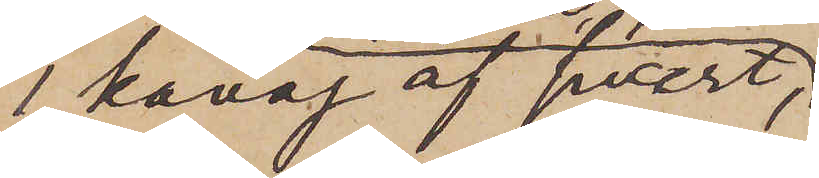1 kavaj af svart,
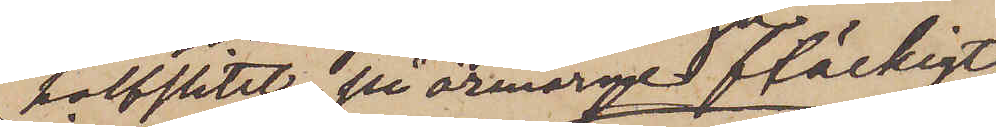halfslitet, på ärmarne fläckigt
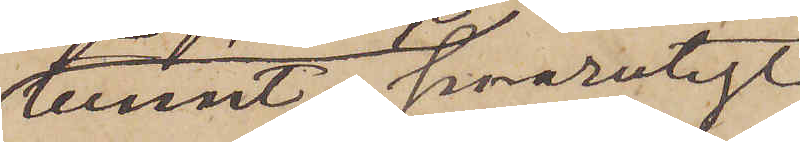tunnt, smårutigt
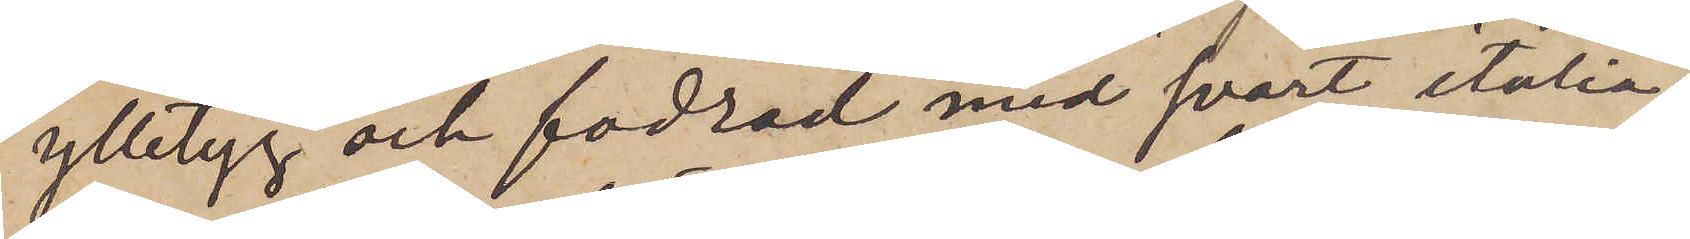ylletyg och fodrad med svart italia¬
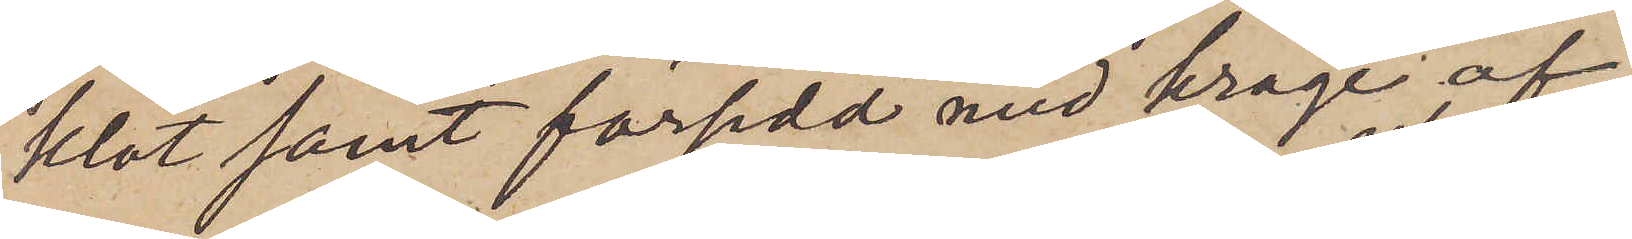klot samt försedd med krage af
